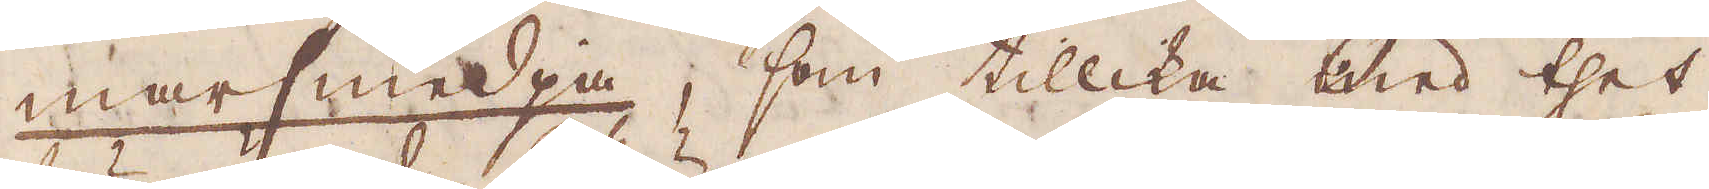marsmedja, som tillika med thet
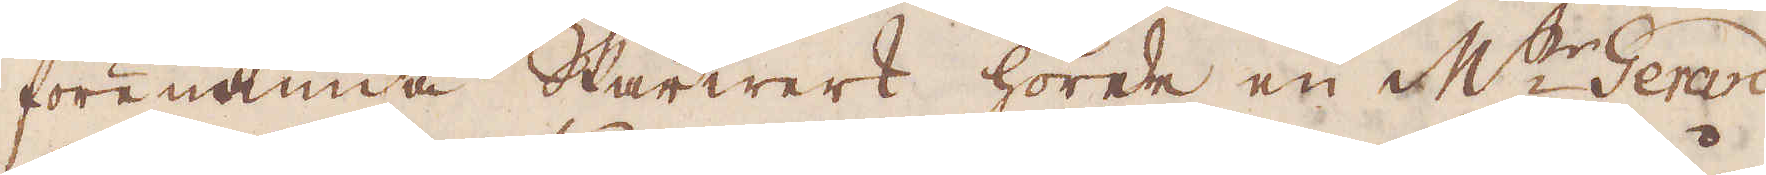förenämde Skärwerk hörde en M:r Gerard
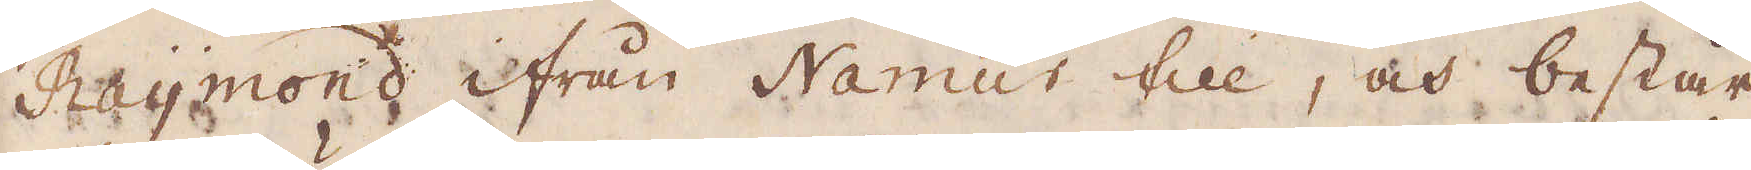Raymond ifrån Namur till, och består
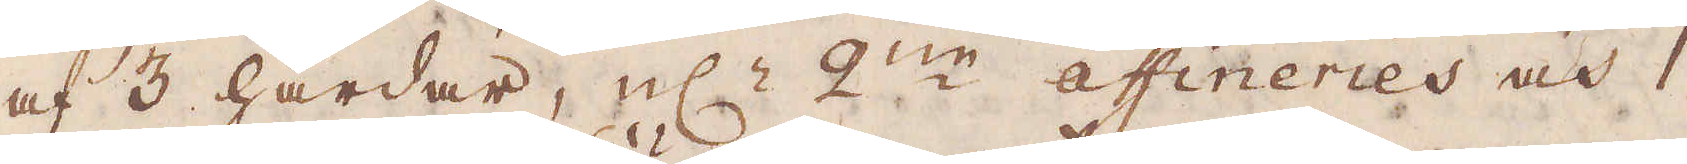af 3 härdar, el:r 2ne affineries och 1
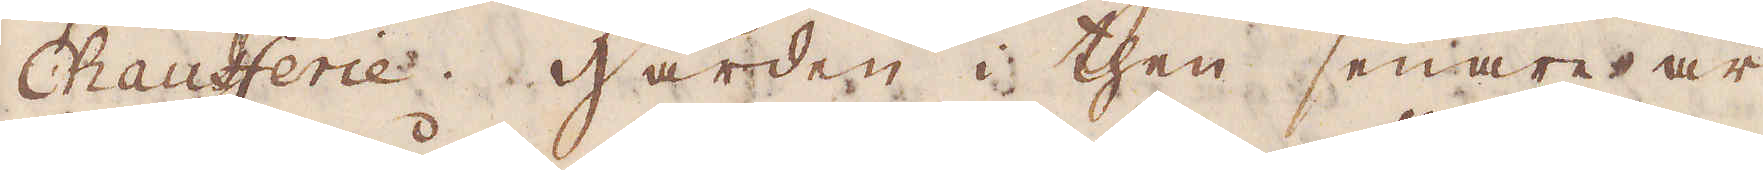Chaufferie. Härden i then senare är
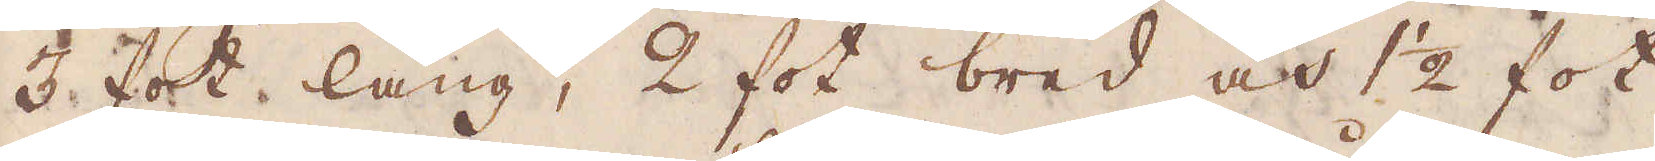3 fot lång, 2 fot bred och 1 1/2 fot
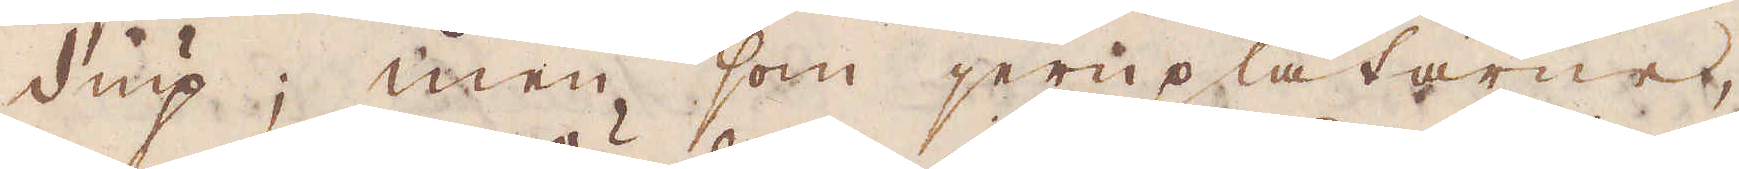diup; men som jernplåtarne,
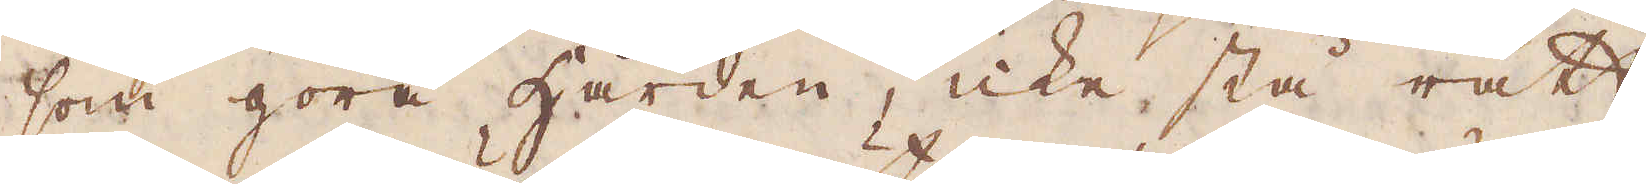som göra härden, icke stå rätt
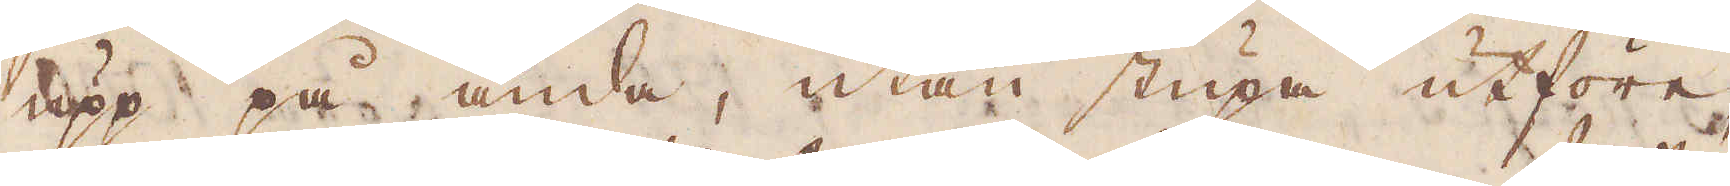upp på ända, utan stupa utföre,
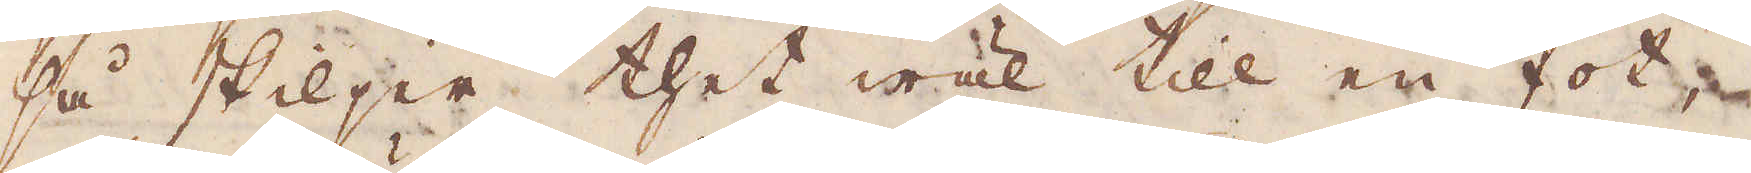så skiljer thet wäl till en fot,
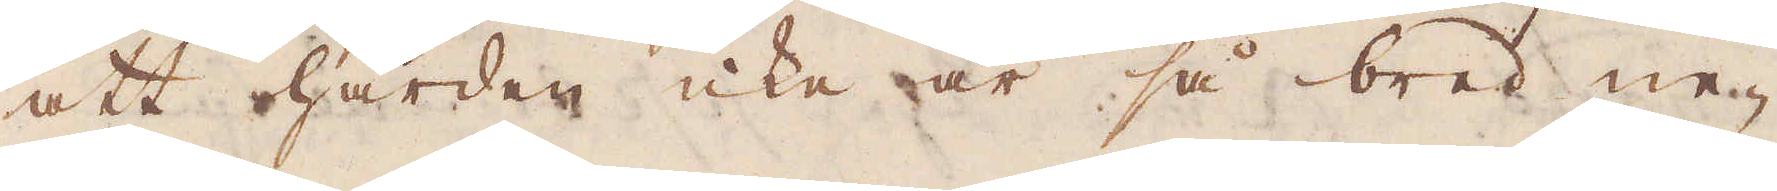att härden icke är så bred ne-
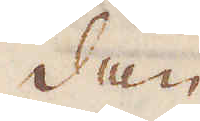dan
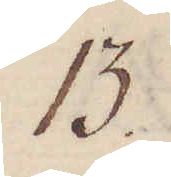13.
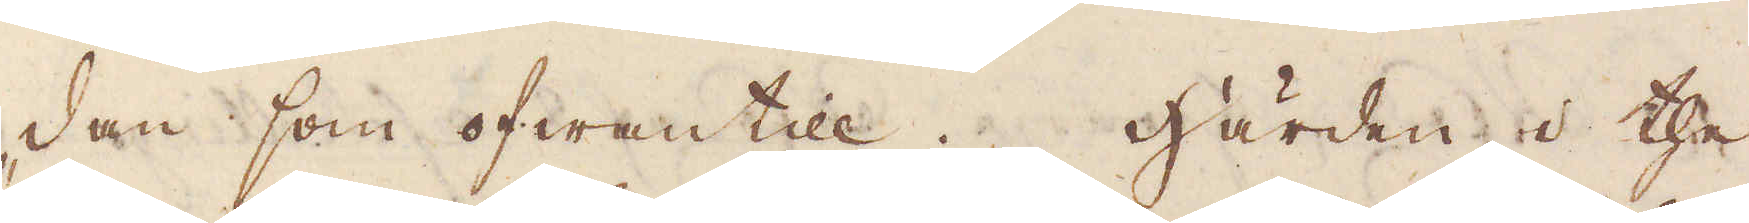dan som ofwantil. Härden i the
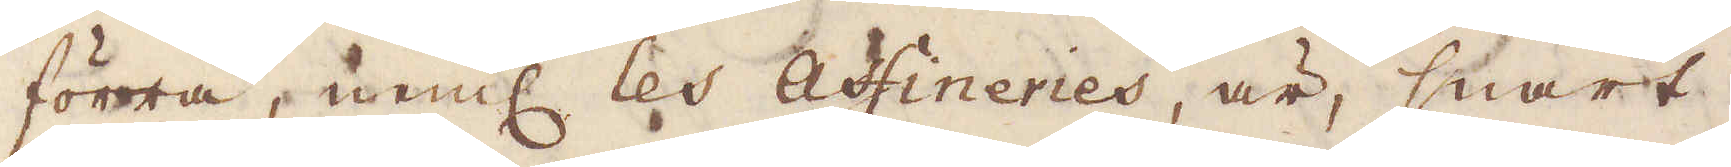förra, neml: les Affineries, är, snart
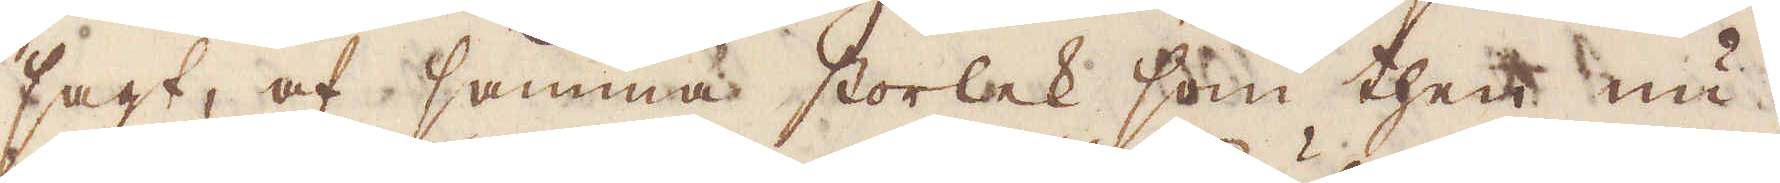sagt, af samma storlek som som then nu
